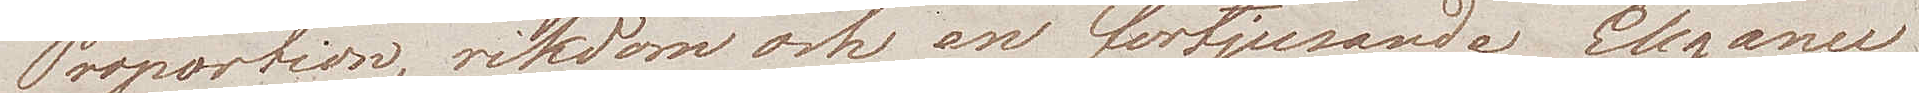Proportion, rikdom och en förtjusande Elegance
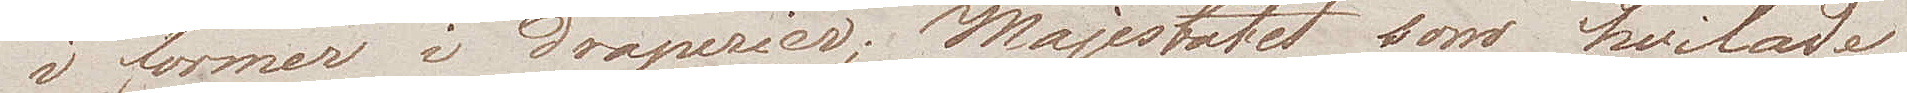i former av draperier; Majestätet som hvilade
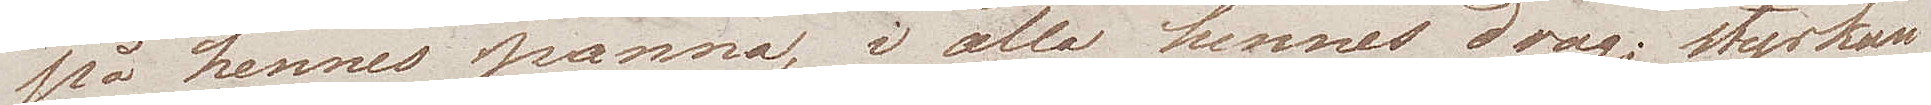på hennes panna, i alla hennes drag; styrkan
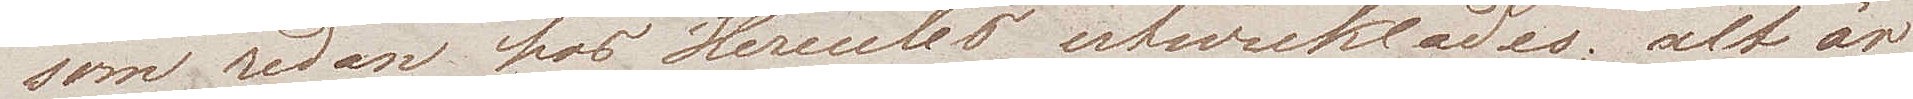som redan hos Hercules utvecklades; alt är
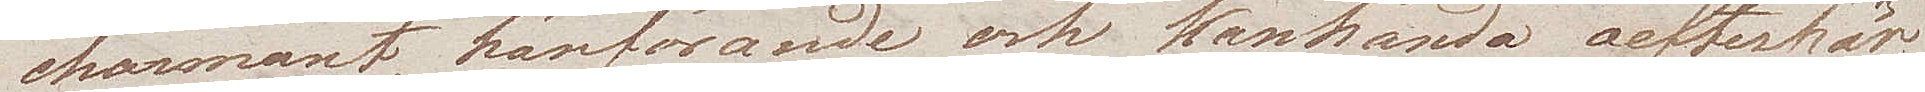charmant, hänförande och kanhända oefterhär¬
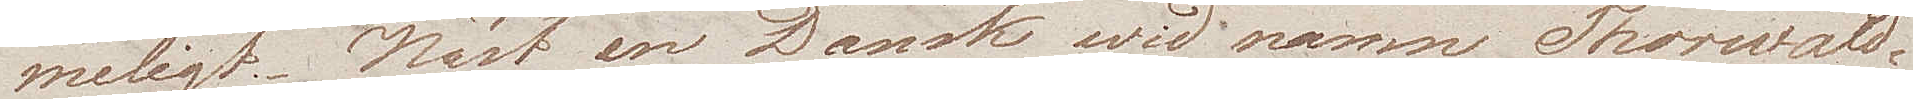meligt. Näst en Dansk wid namn Thorwald¬
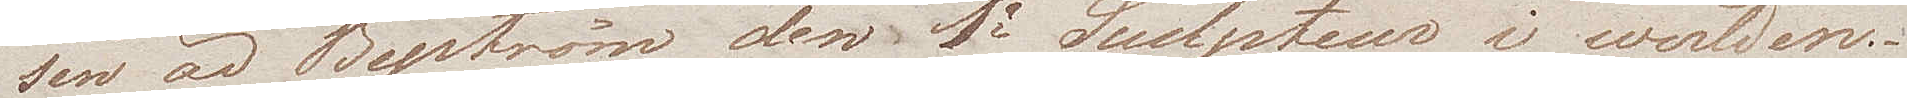sen är Byström den 1e Sculpteur i werlden.
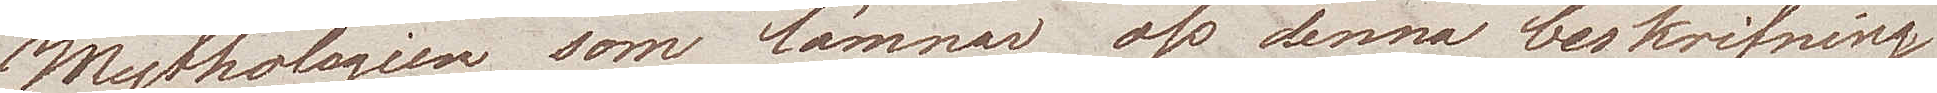Mythologien som lämnar oss denna beskrifning
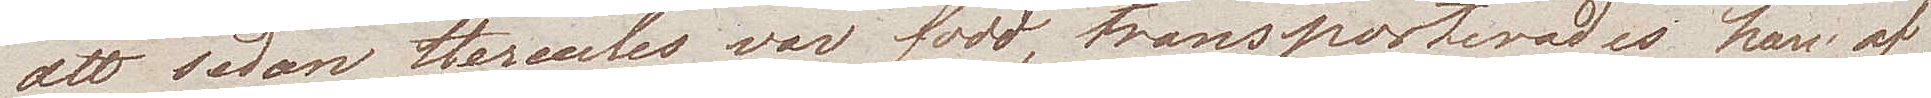att sedan Hercules var född, transporterades han af
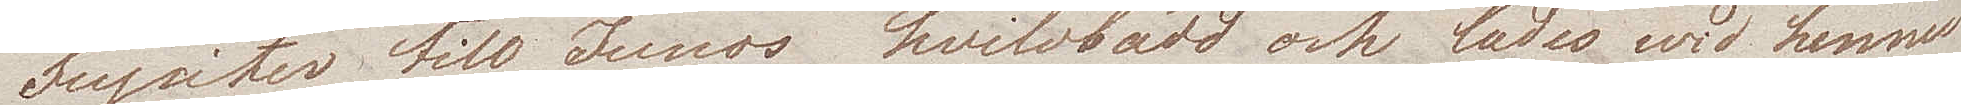Jupiter till Junos hvilobädd och lades wid hennes
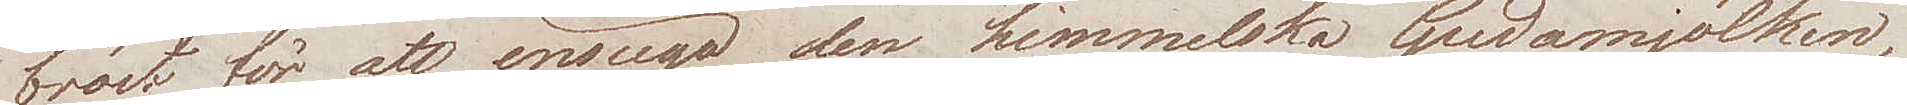bröst för att insuga den himmelska Gudamjölken, 
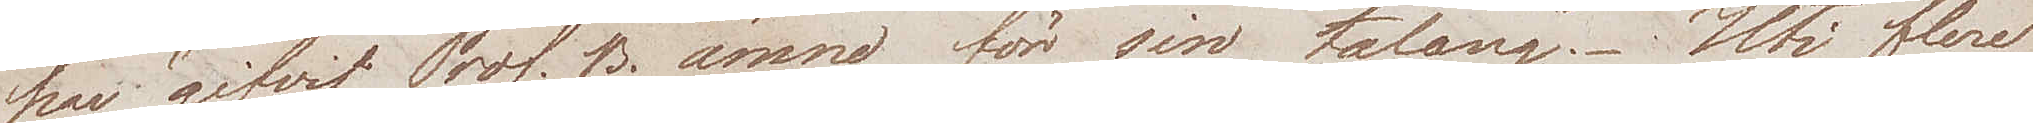har gifvtit Prof. B. ämne för sin talang. Uti flere
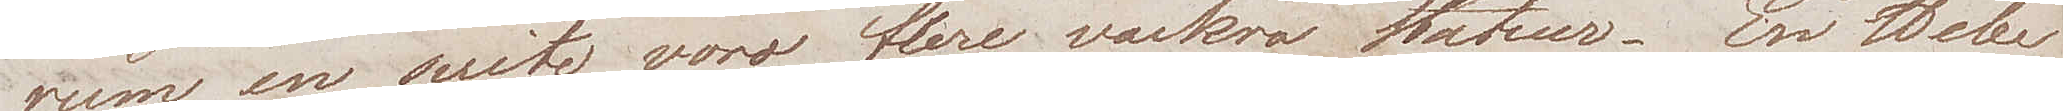rum en suite voro flere vackra statuer. En Hebe
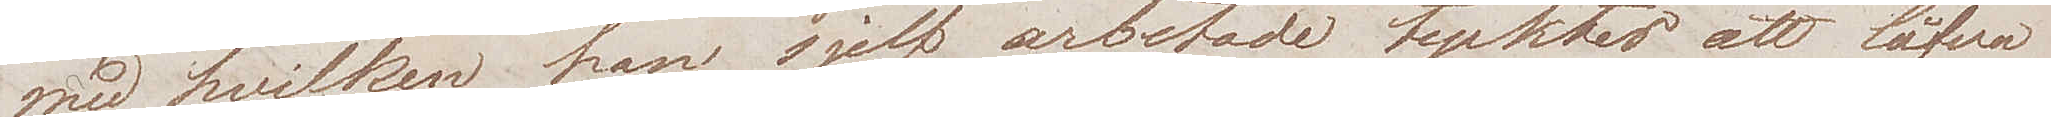med hvilken kan sjelf arbetade tycktes att låfva
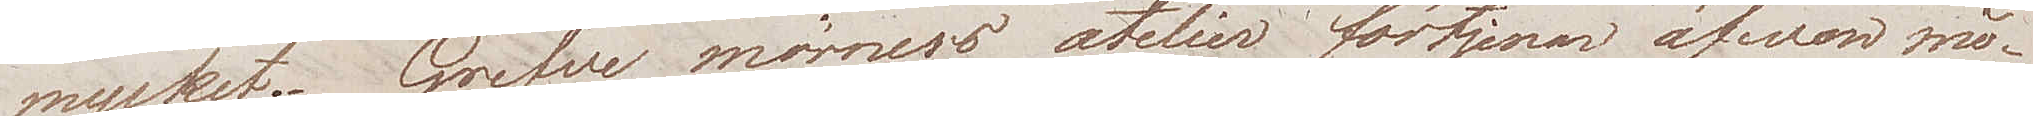mycket. Grefve Mörners atelier förtjenar äfven mö¬
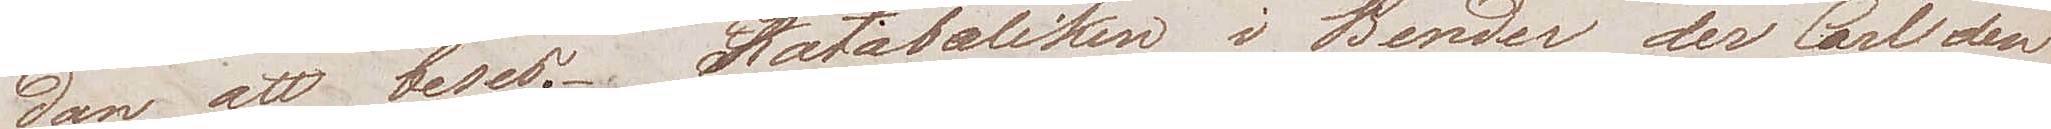dan att beses. Kalabaliken i Bender der Carl den
